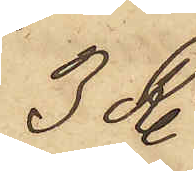3 R.
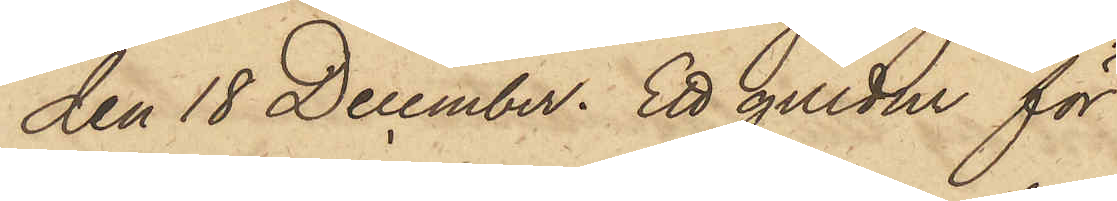den 18 December. Ett guldur för
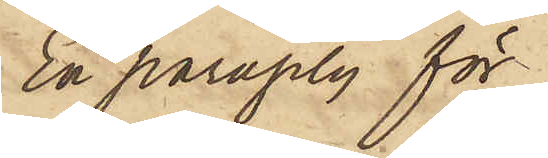En paraply för
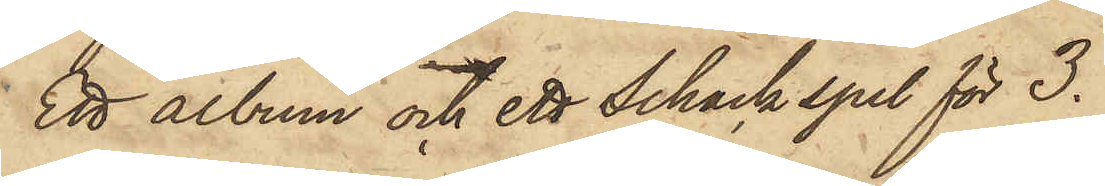Ett album och ett schackspel för 3.
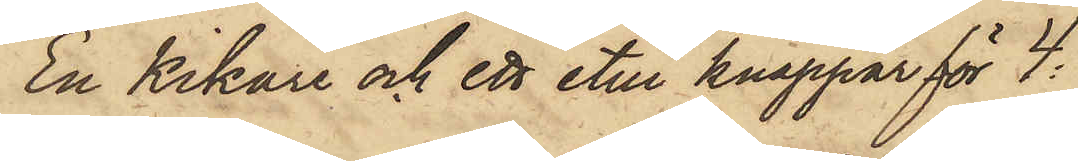En Kikare och ett etui knappar för 4:
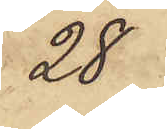28
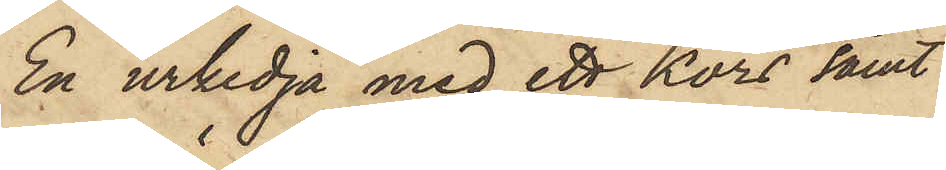En urkedja med ett Kors samt
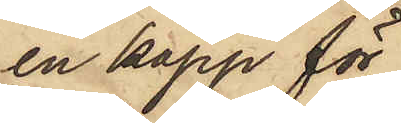en käpp för
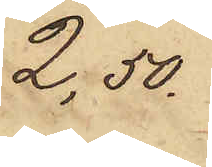2,50
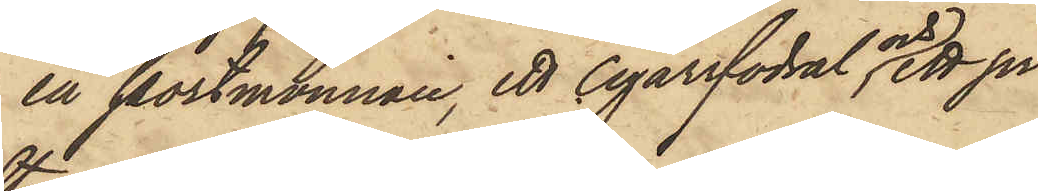en portmonnaie, ett cigarrfodral och ett pr
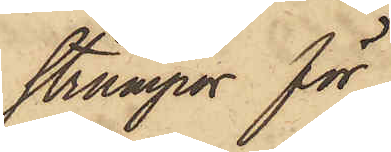strumpor för
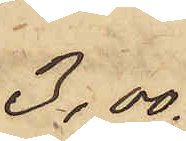3,00
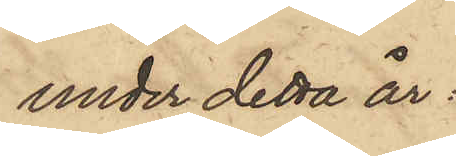under detta år:
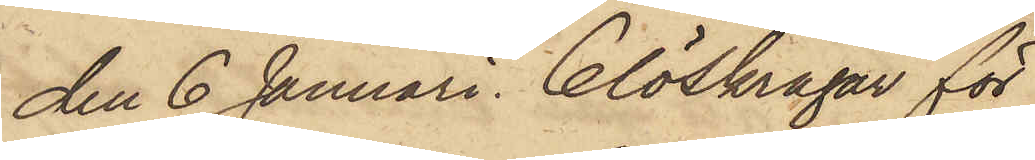den 6 Januari 6 löskragar för
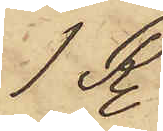1 R.
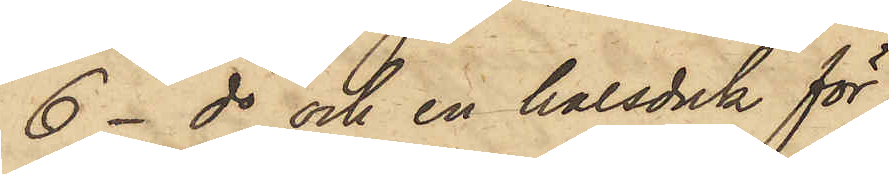6 - do och en halsduk för
